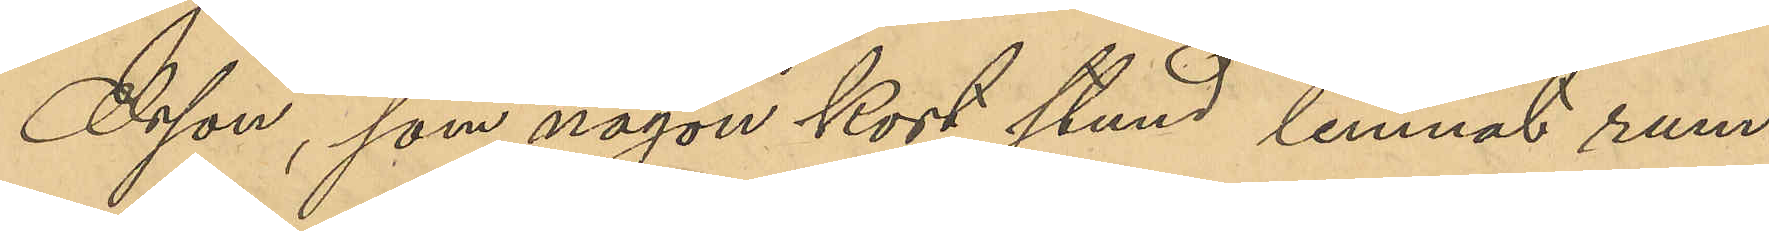Olsson, som någon kort stund lemnat rum¬
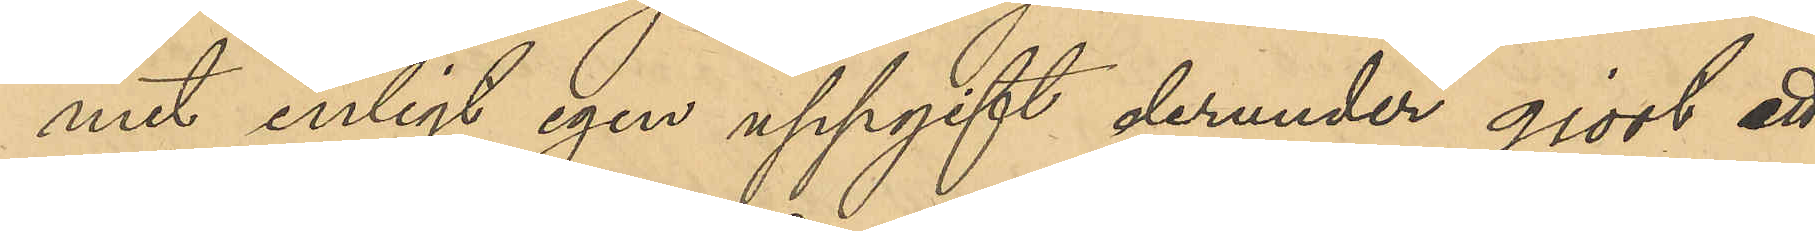met enligt egen uppgift derunder gjort ett
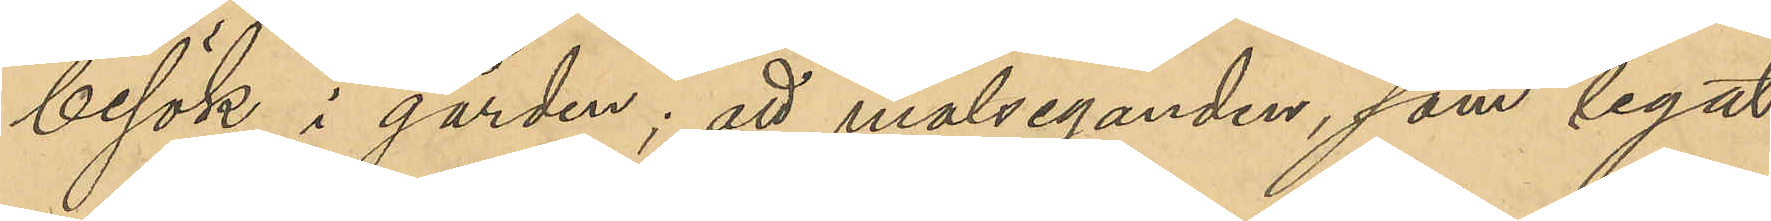besök i gården; att målseganden. som legat
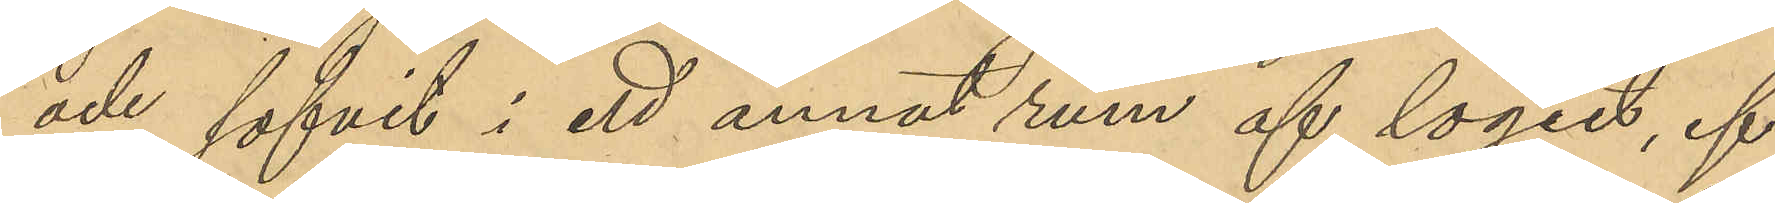och sofvit i ett annat rum af logiet, ef¬
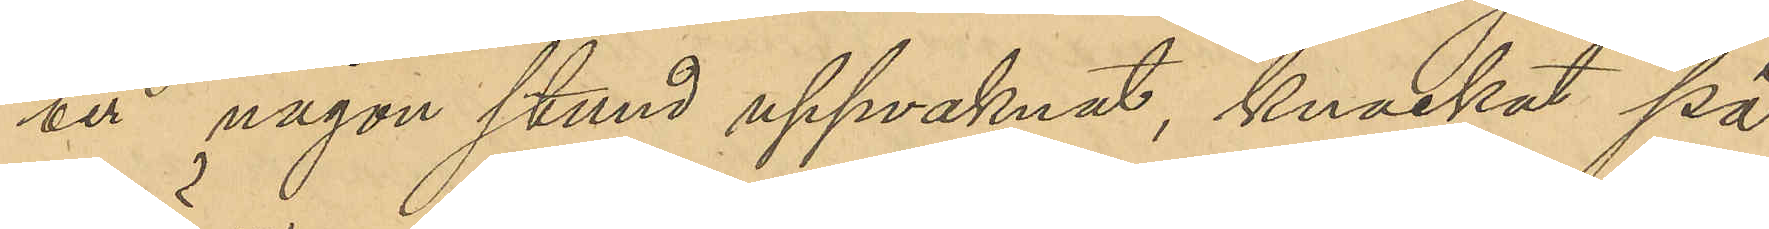ter någon stund uppvaknat, knackat på
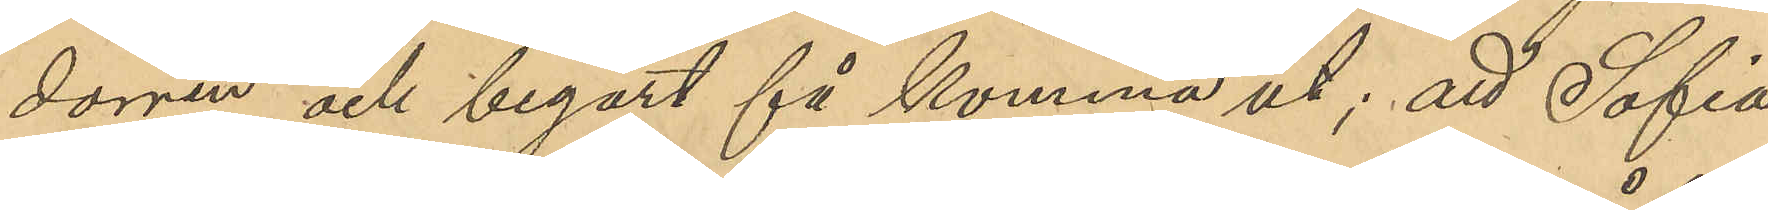dörren och begärt få komma ut; att Sofia
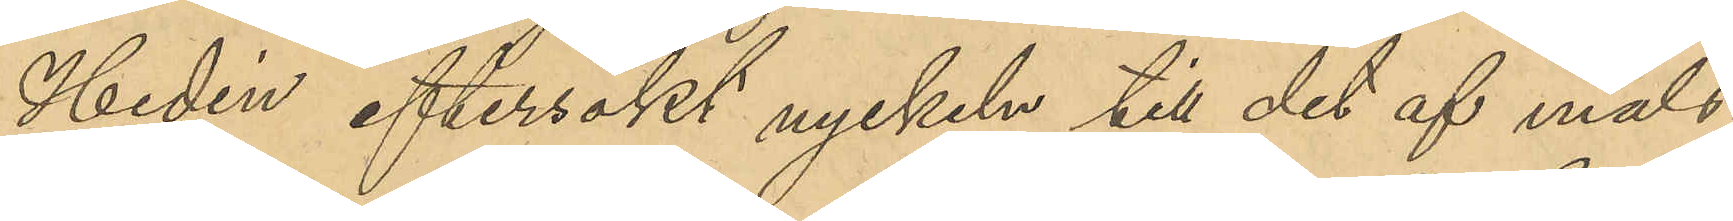Hedén eftersökt nyckeln till det af måls¬
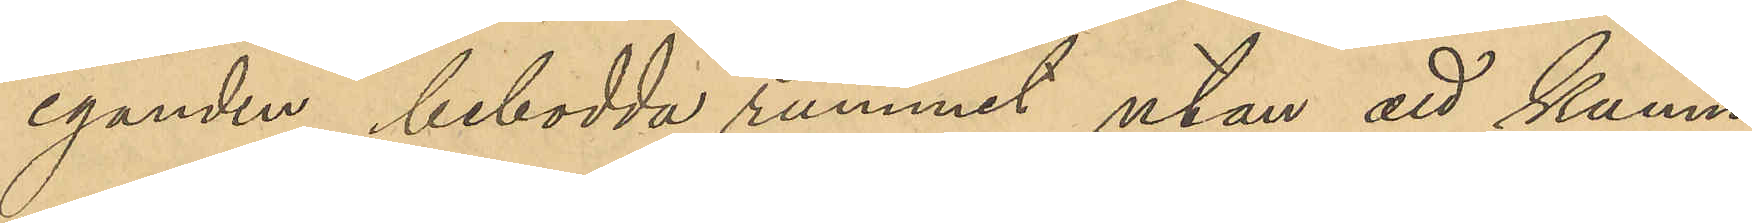eganden bebodda rummet utan att kunna
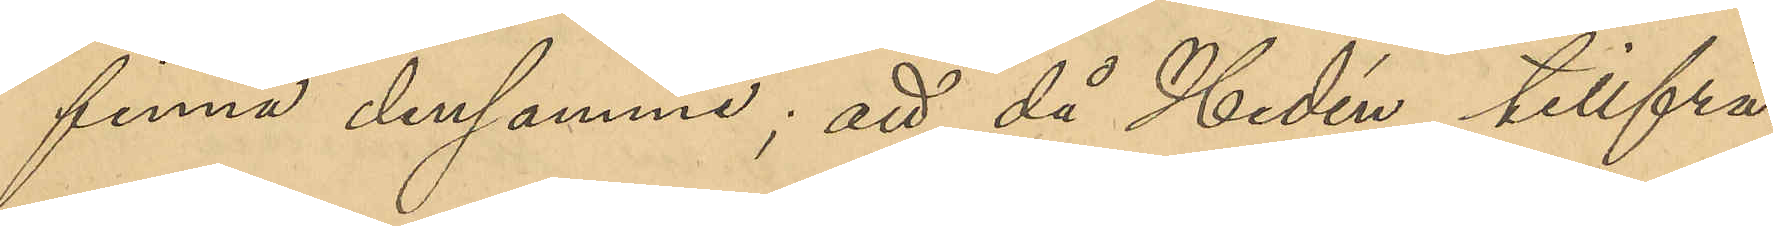finna densamme; att då Hedén tillfrå¬
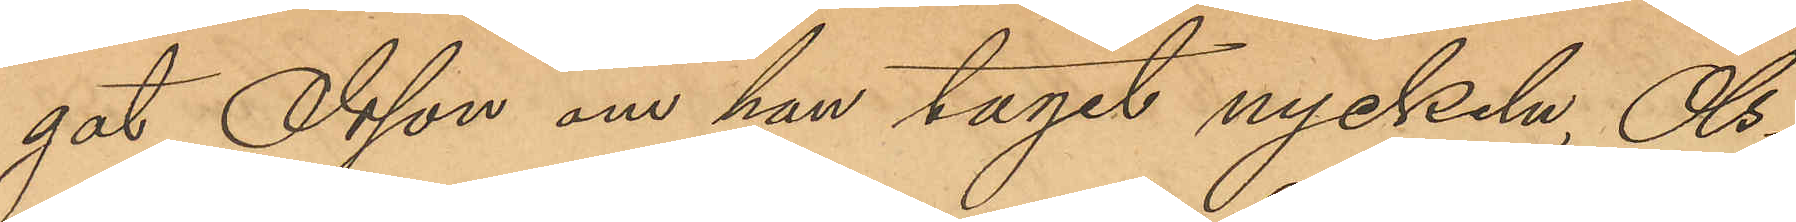gat Olsson om han tagit nyckeln, Ols¬
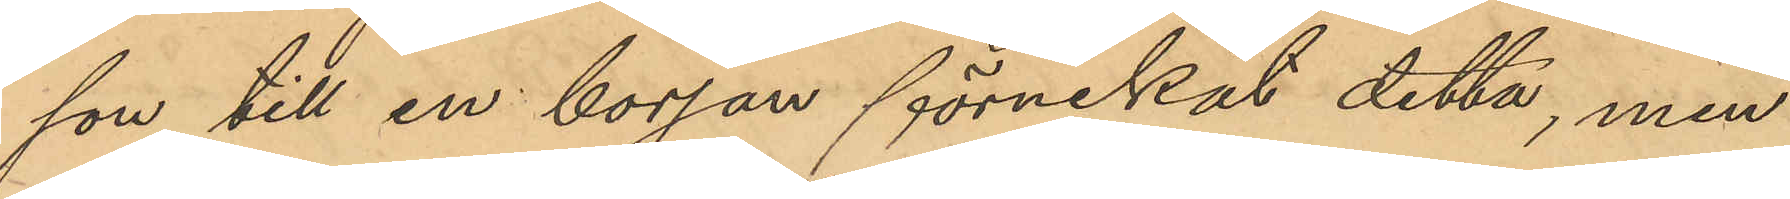son till en början förnekat detta, men
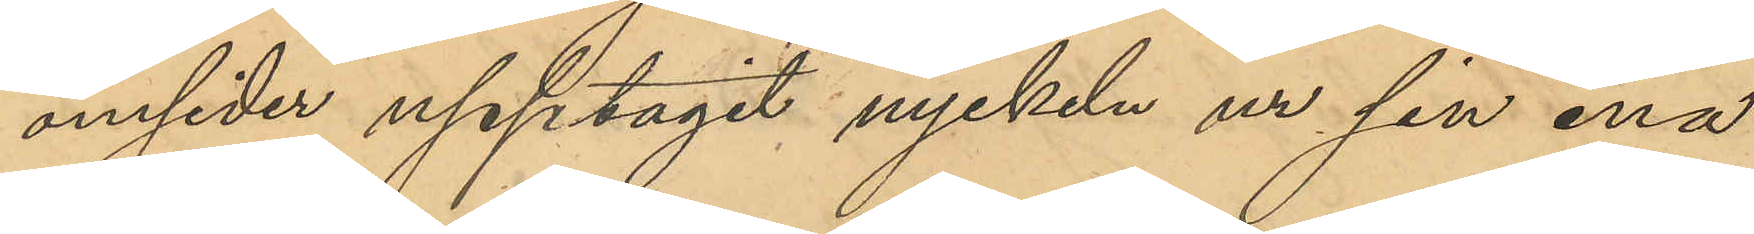omsider upptagit nyckeln ur sin ena
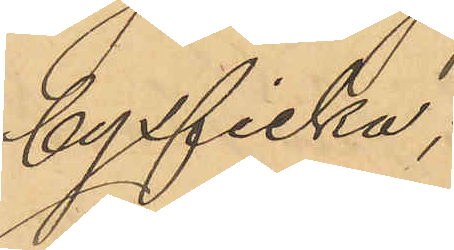byxficka;
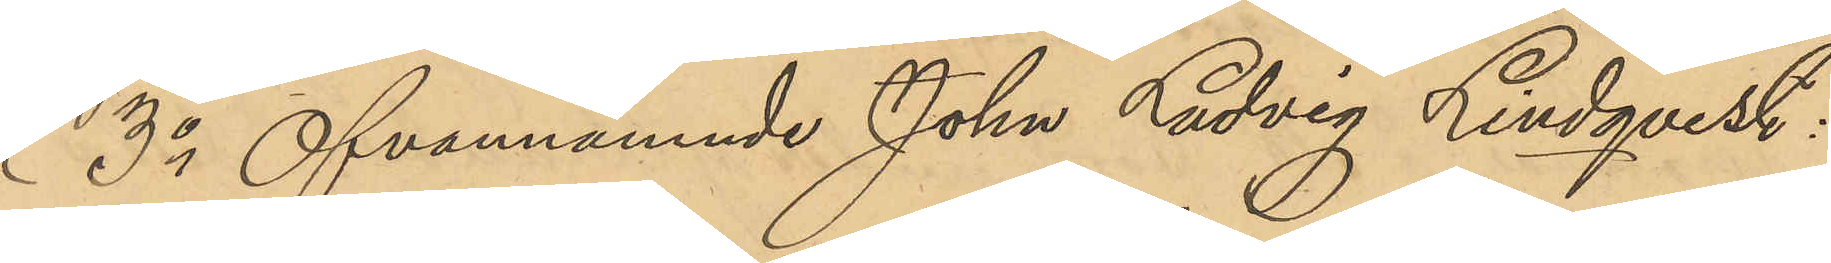3o Ofvannämnde John Ludvig Lindqvist:
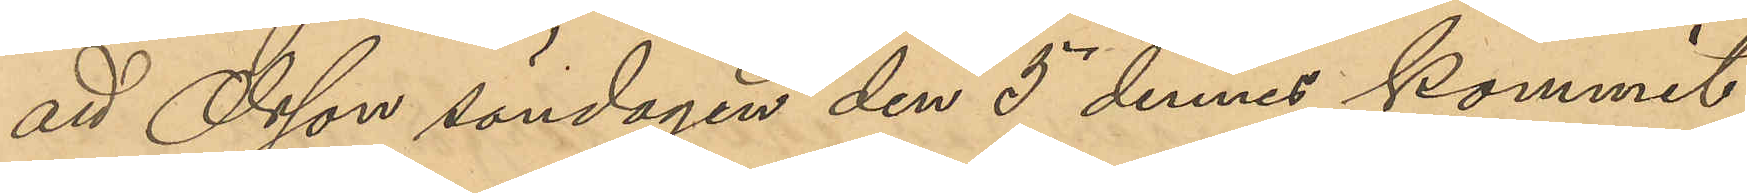att Olsson söndagen den 5 dennes kommit
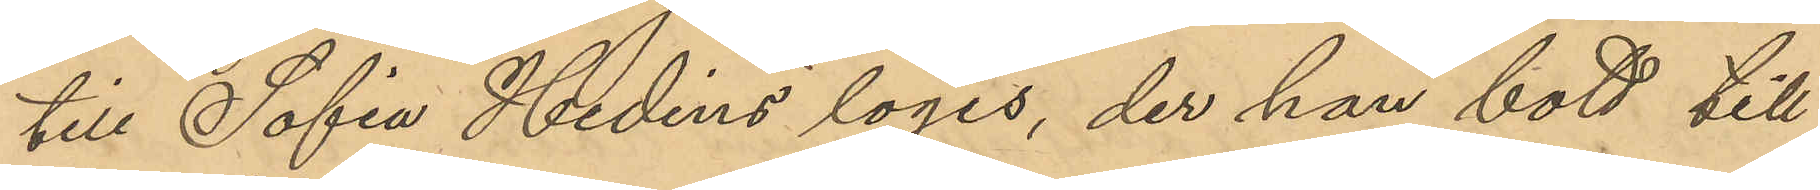till Sofia Hedéns logis, der han bott till
